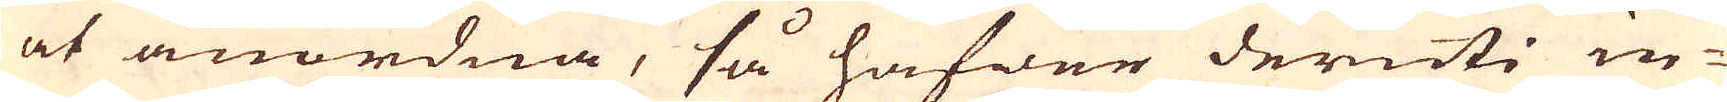at anordna, så hafwer deruti in-
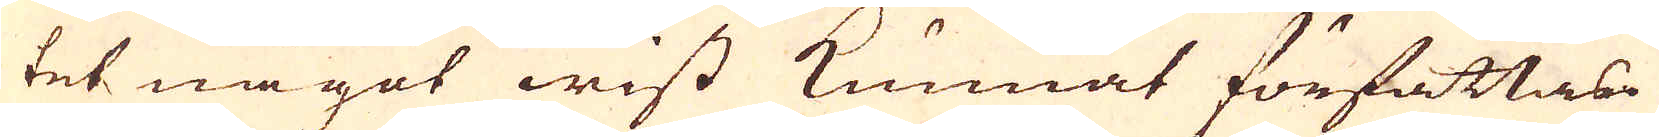tet något wist kunnat författas.
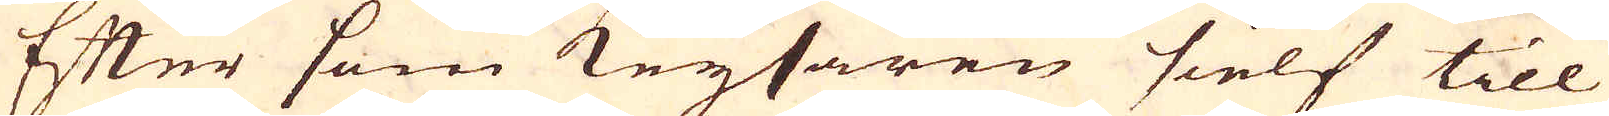Efter som Keysaren sielf till
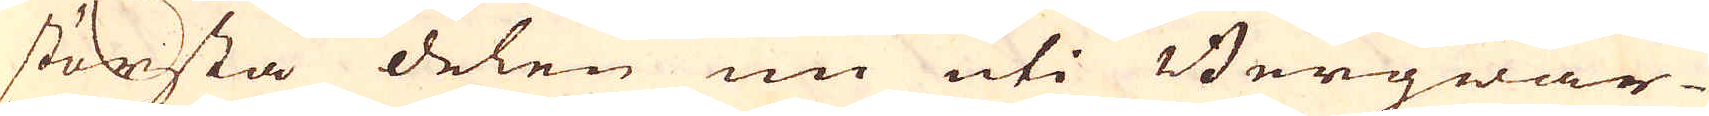största delen nu uti Bergwär-
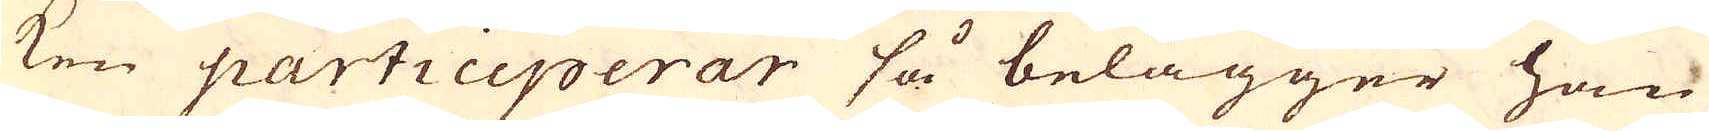ken participerar så belägger han
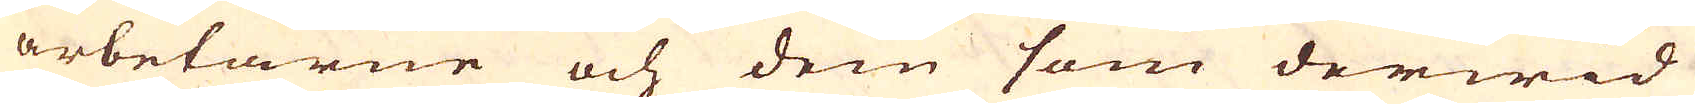arbetarne och den som derwid
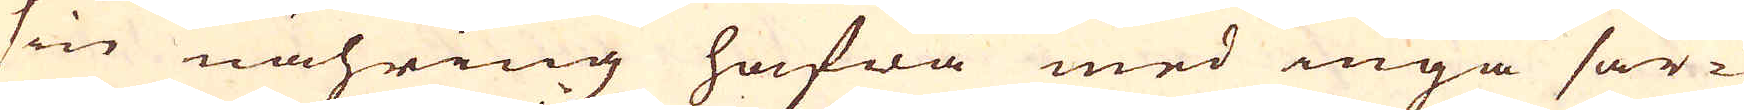sin nähring hafwa med inga sär-
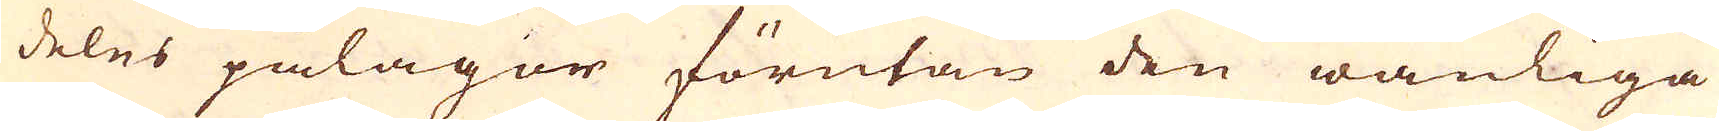deles pålagor förutan den wanliga
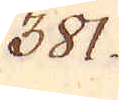381.
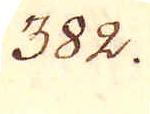382.
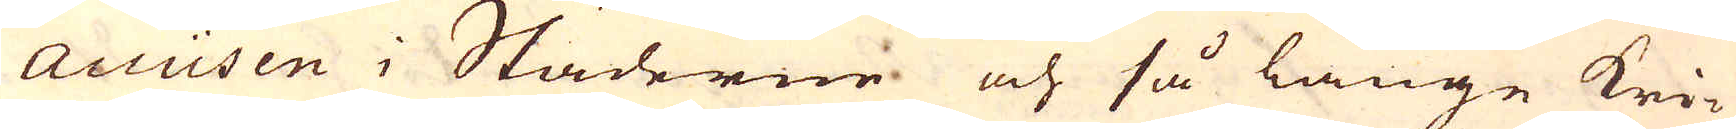Accüsen i Städerne och så länge kri-
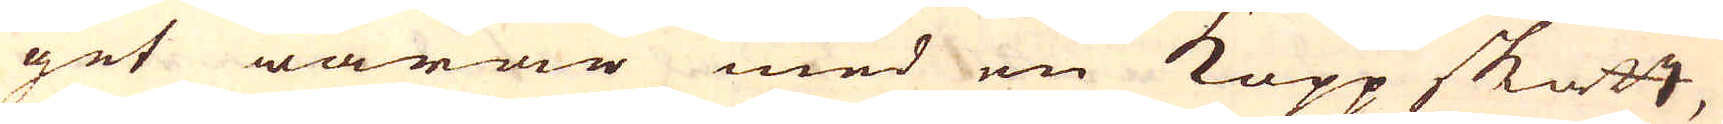get warar med en Kopp skatt,
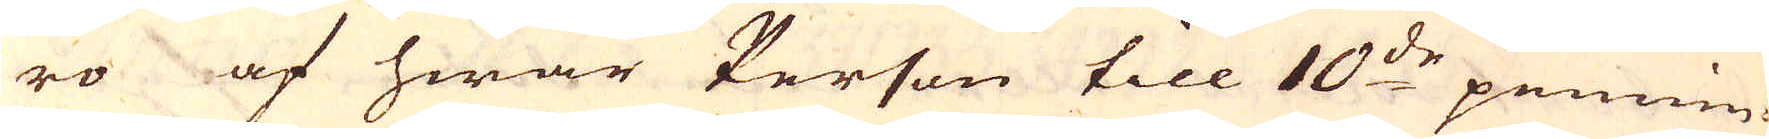ro af hwar Person till 10:de pennin-
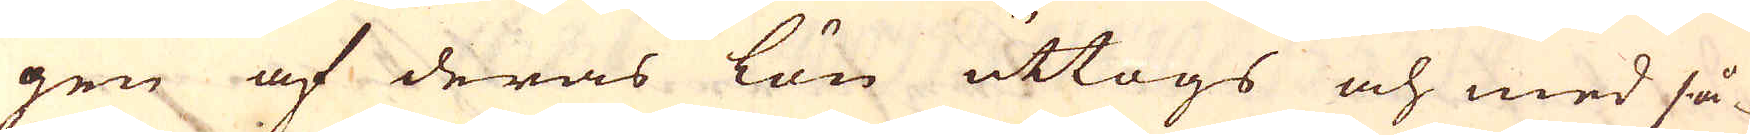gen af deras lön uttogs och med så-
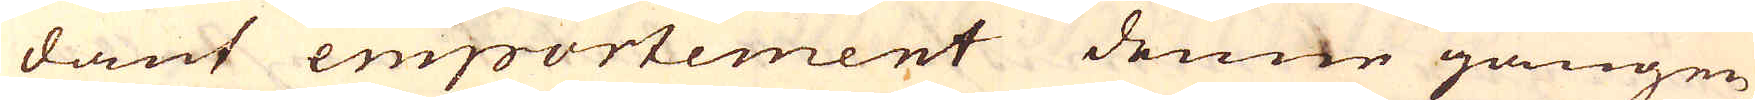dant emportement denne gången
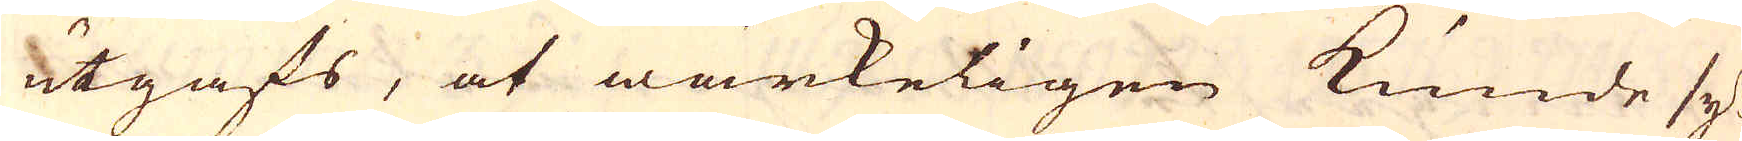utgafs, at wärkeligen kunde sy-
